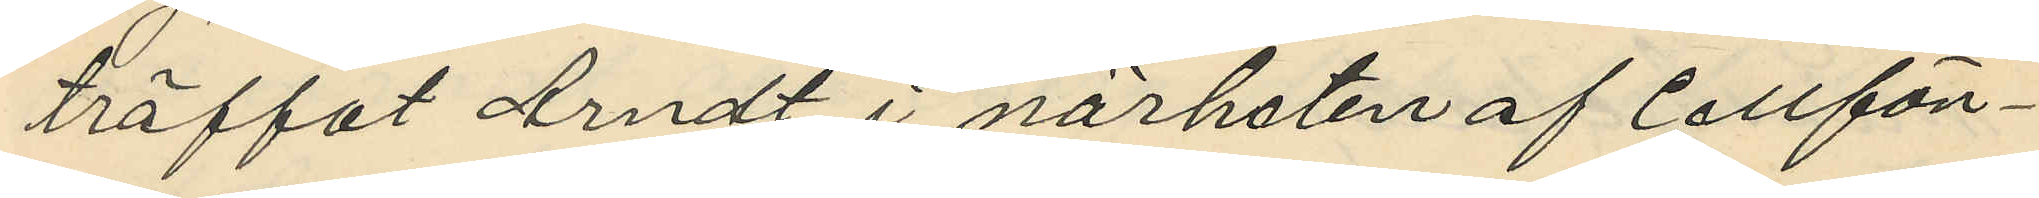träffat Arndt i närheten af Cellfän¬
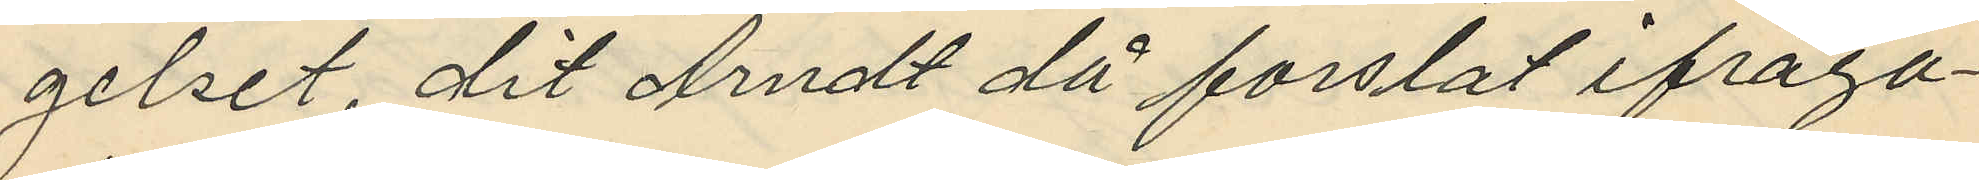gelset, dit Arndt då forslat ifråga¬
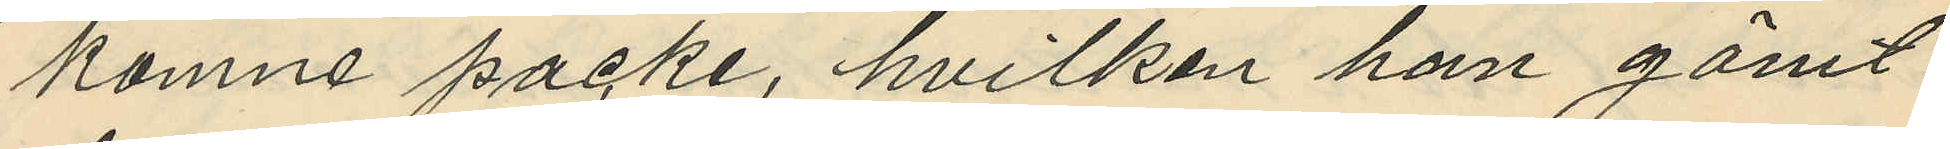komne packe, hvilken han gömt
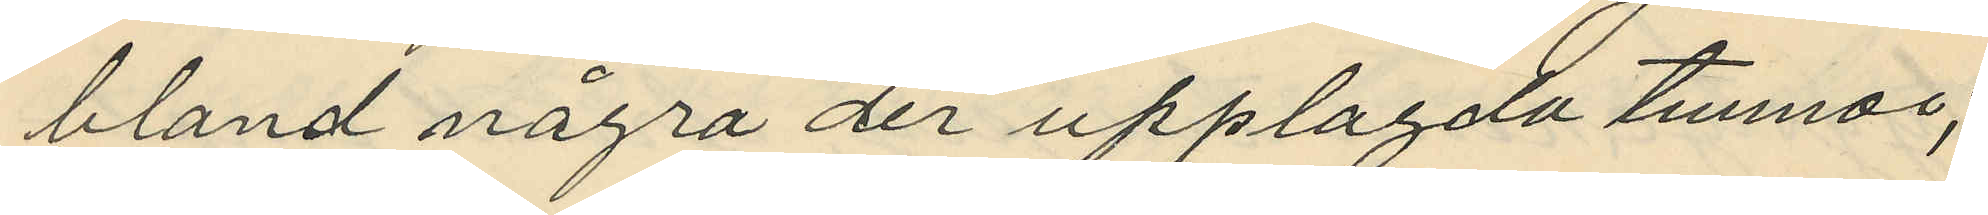bland några der upplagda tunnor;
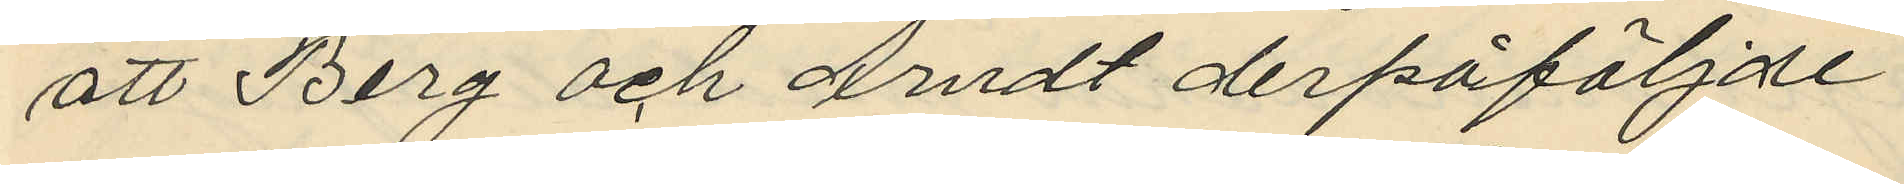att Berg och Arndt derpåföljde
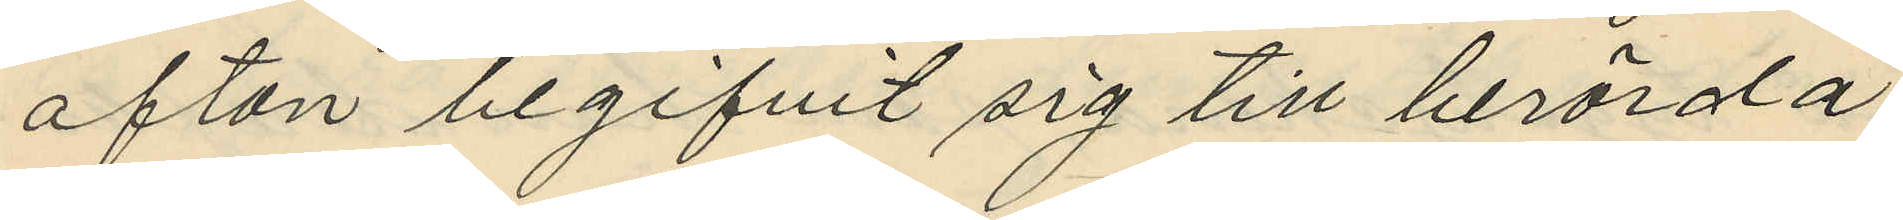afton begifvit sig till berörda
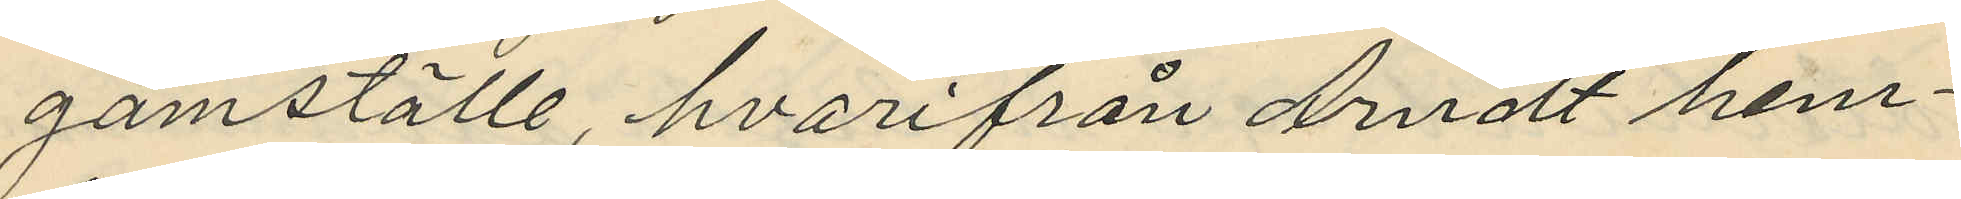gömställe, hvarifrån Arndt hem¬
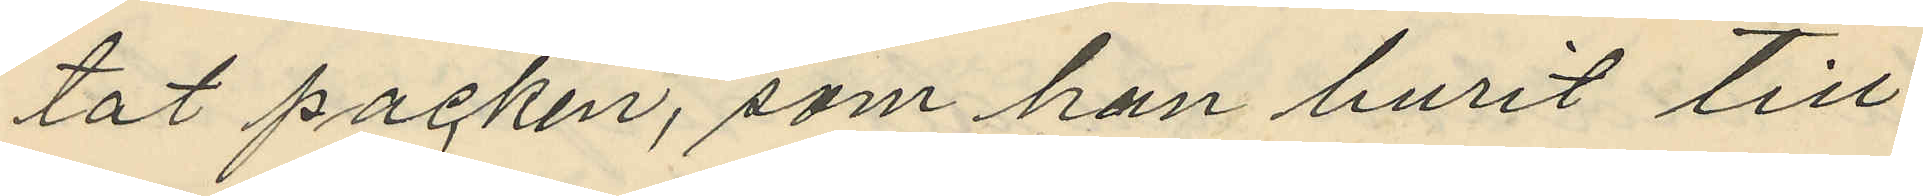tat packen, som han burit till
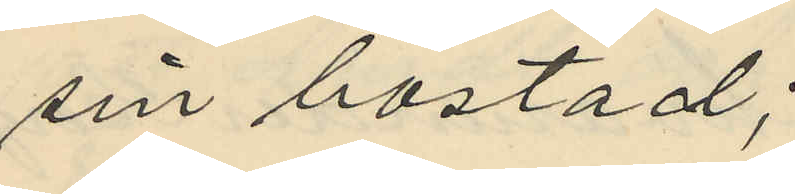sin bostad;
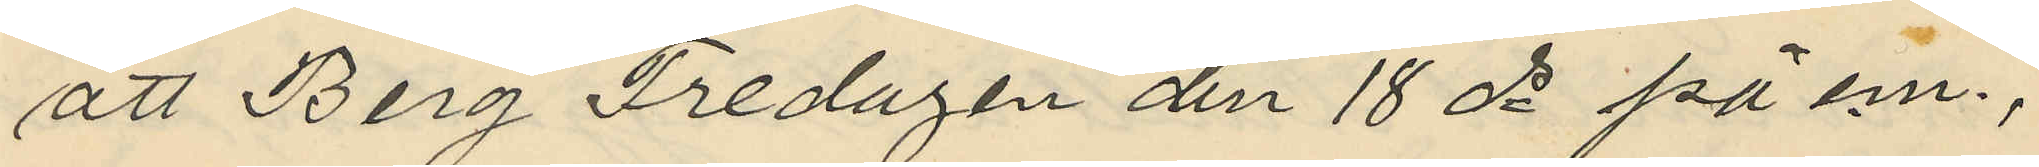att Berg Fredagen den 18 ds på em.;
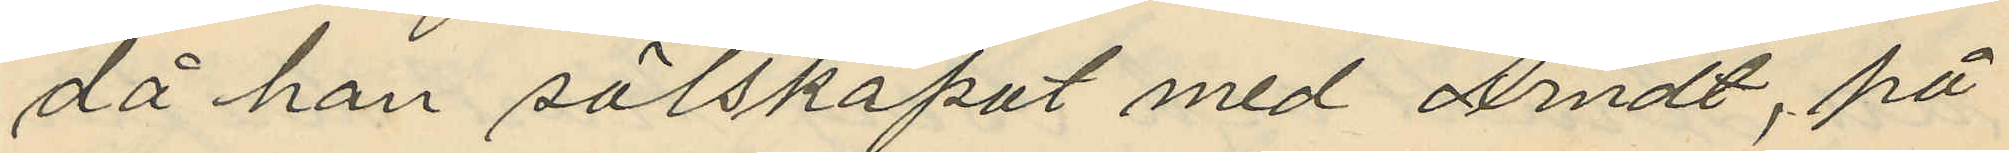då han sälskapat med Arndt, på
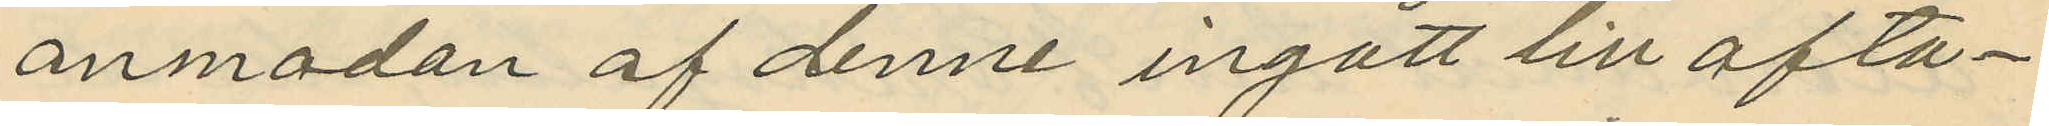anmodan af denne ingått till ofta¬
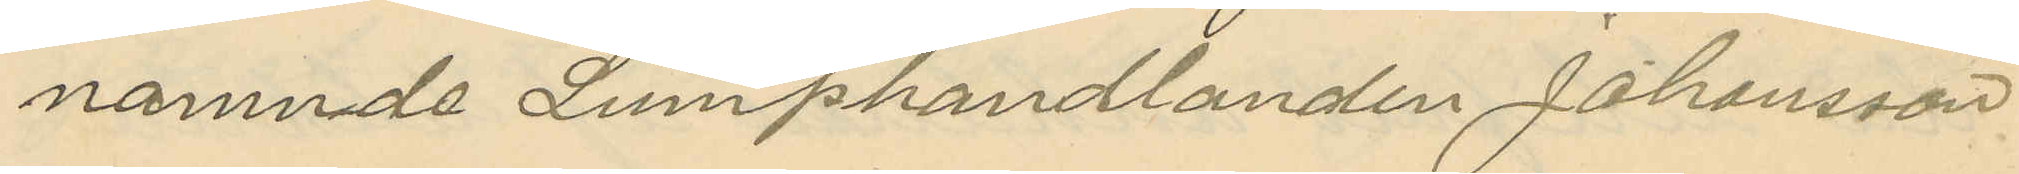nämnde Lumphandlanden Johansson
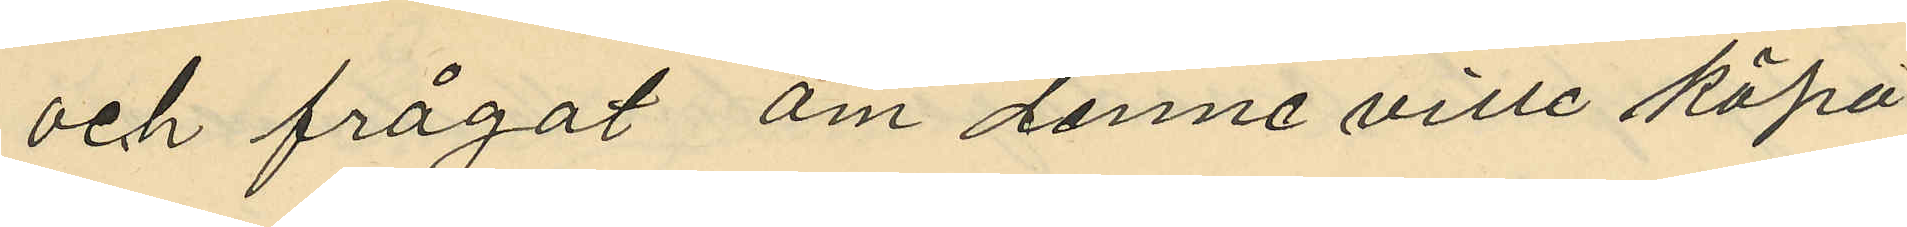och frågat om denne ville köpa
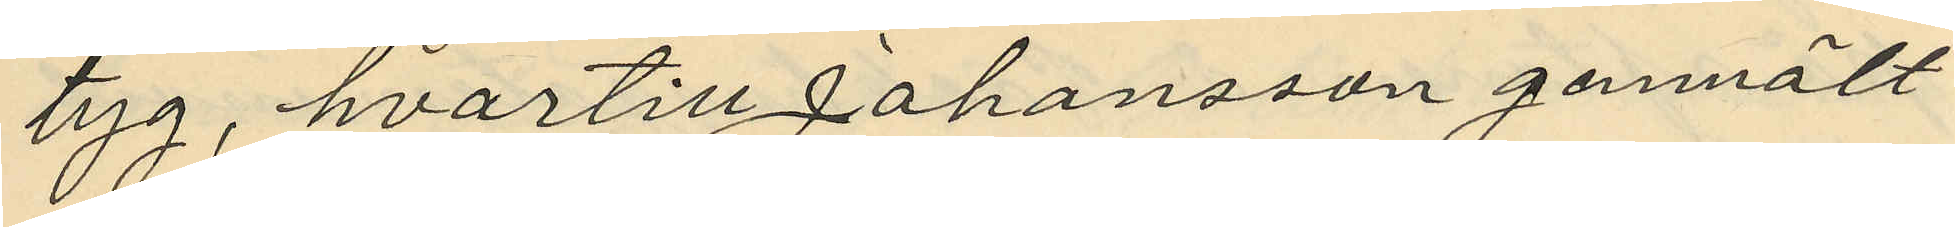tyg, hvartill Johansson genmält
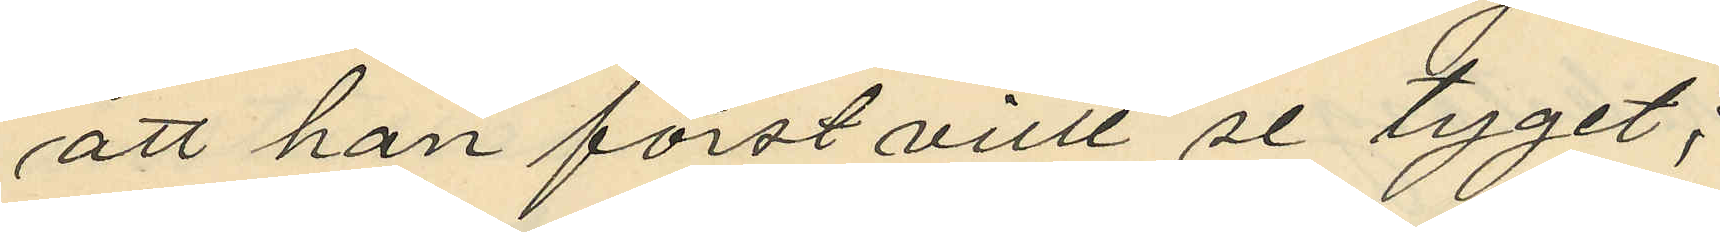att han först ville se tyget;
